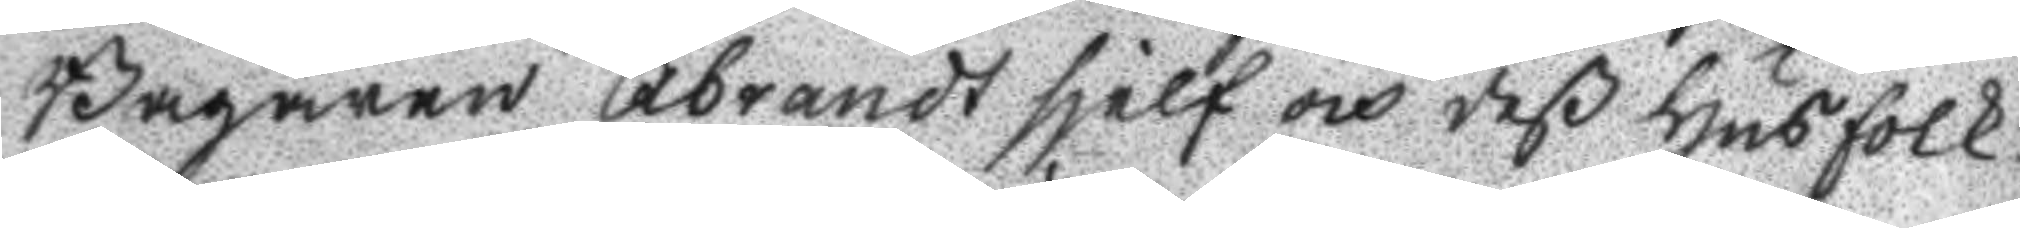Bagaren Åbrandt sjelf och deß husfolk
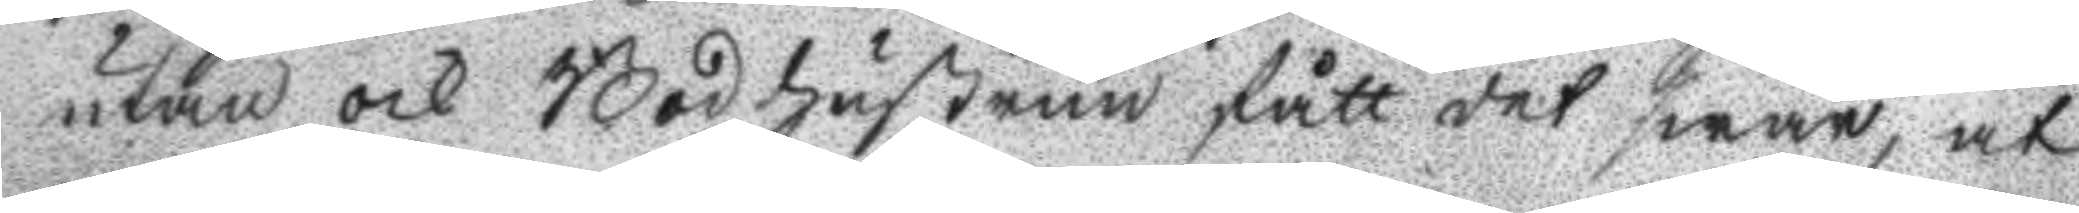utan och Bodhustrun fått det swar, at
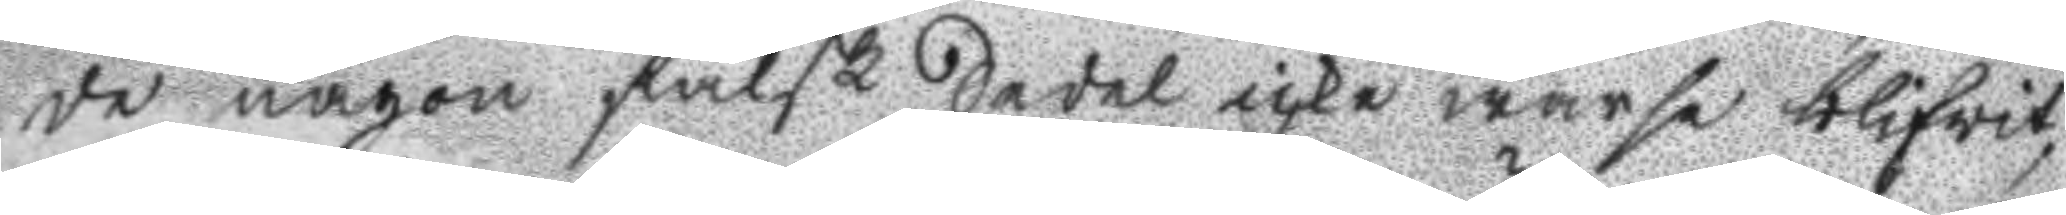de någon falsk Sedel icke warse blifwit,
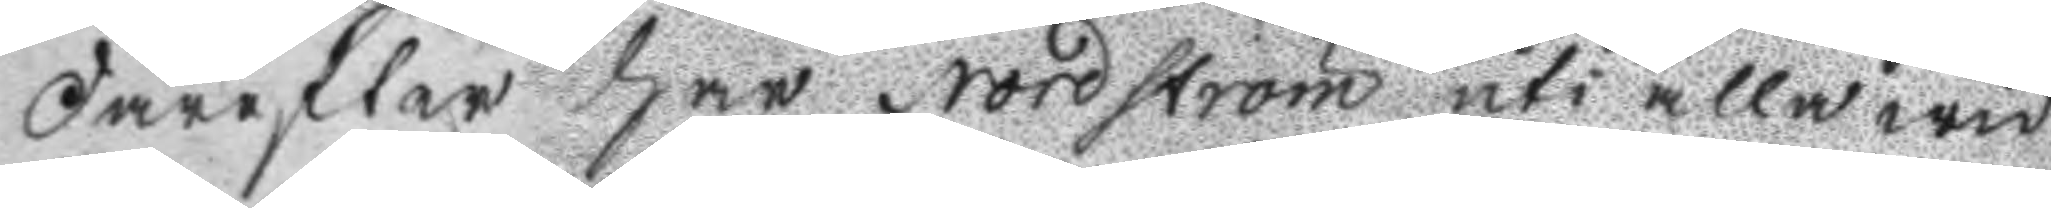Därefter har Nordström uti alla wid
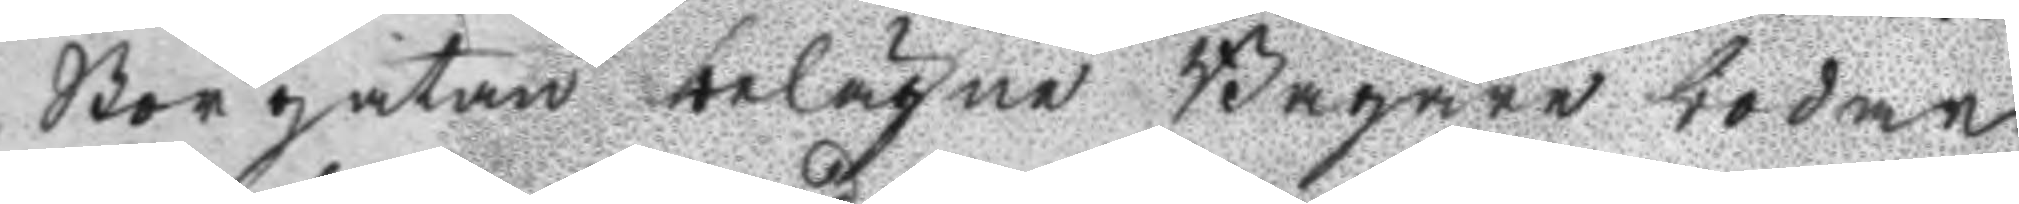Storgatan belägne Bagare bodar
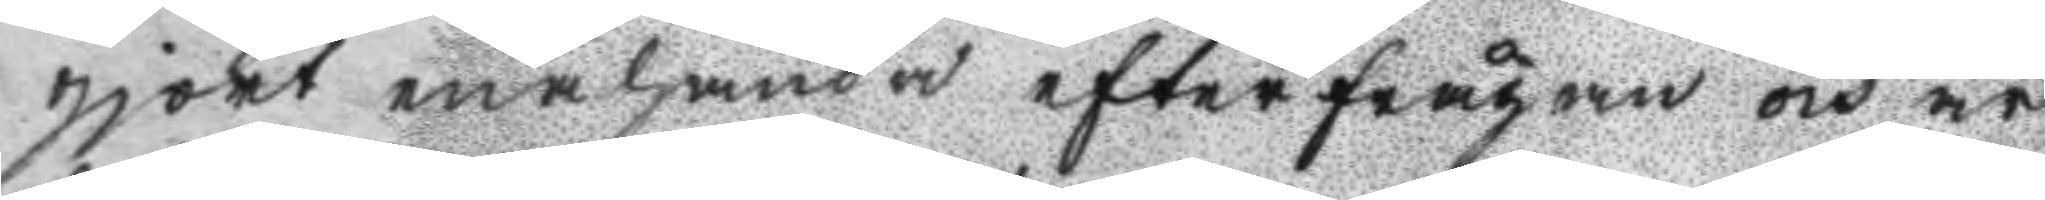gjort enahanda efterfrågan och är
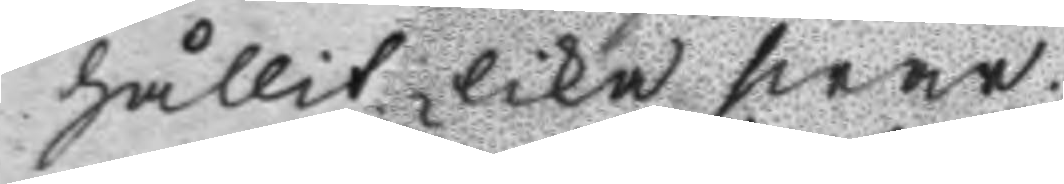hållit lika swar.
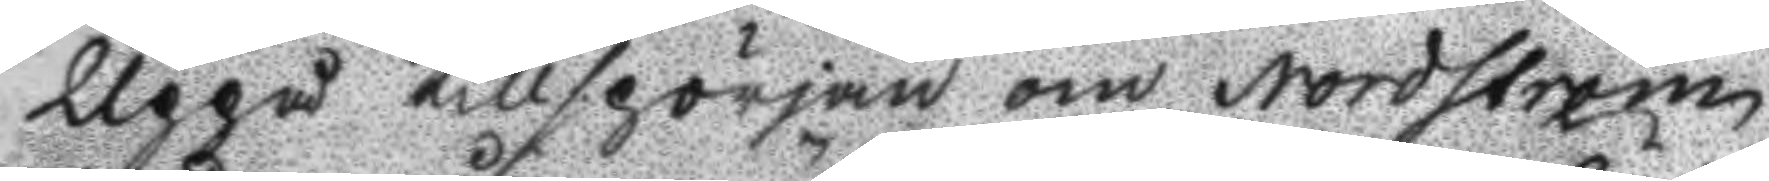Uppå tillspörjan om Nordström
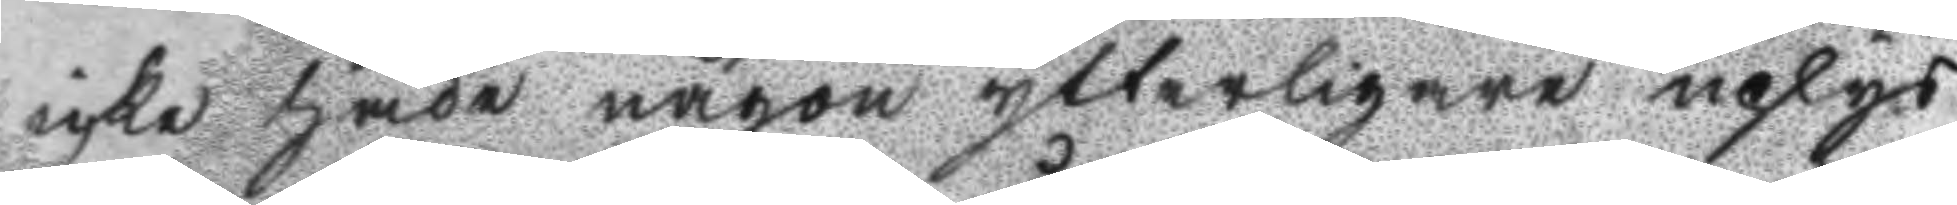icke hade någon ytterligare uplys
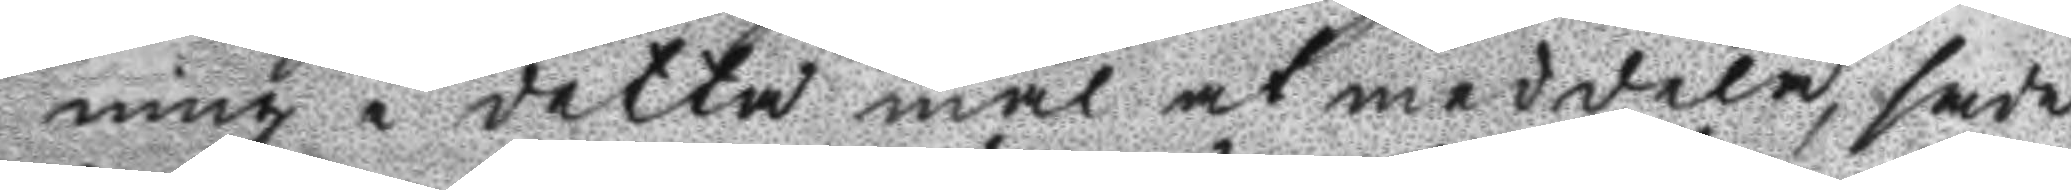ning i detta mål at meddela, sade
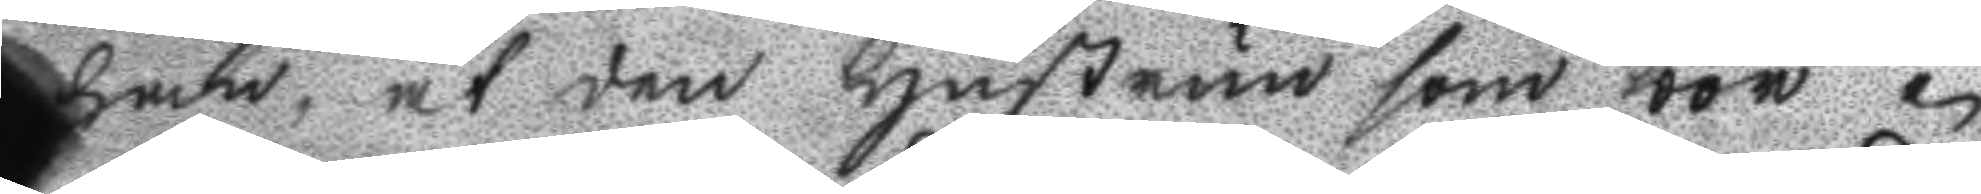han, at den Hustrun som bor i
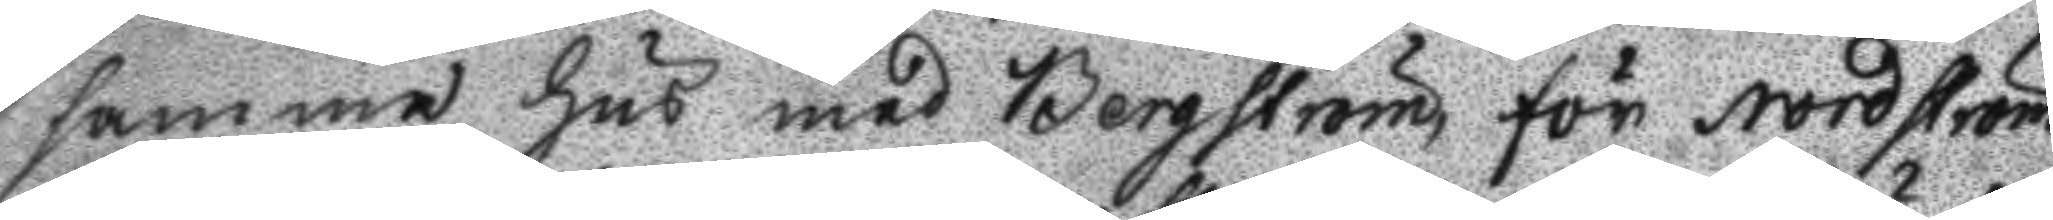samma Hus med Bergström för Nordström
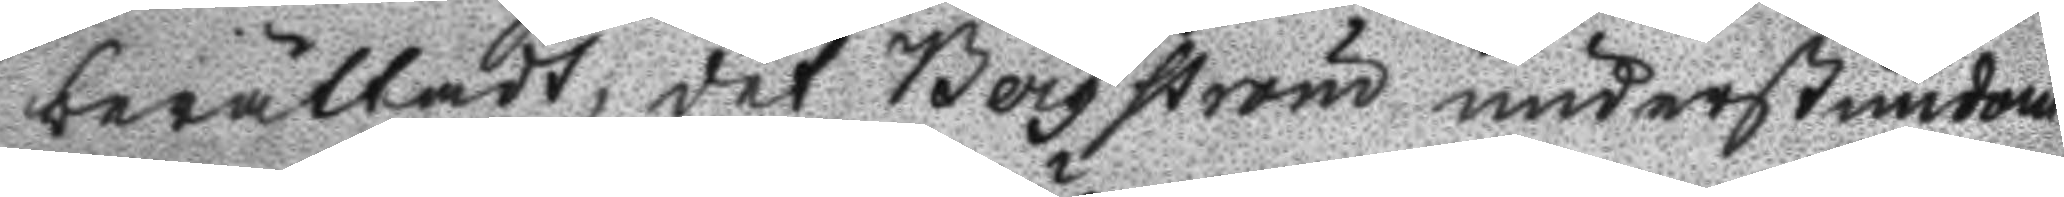berättadt, det Bergström understundom
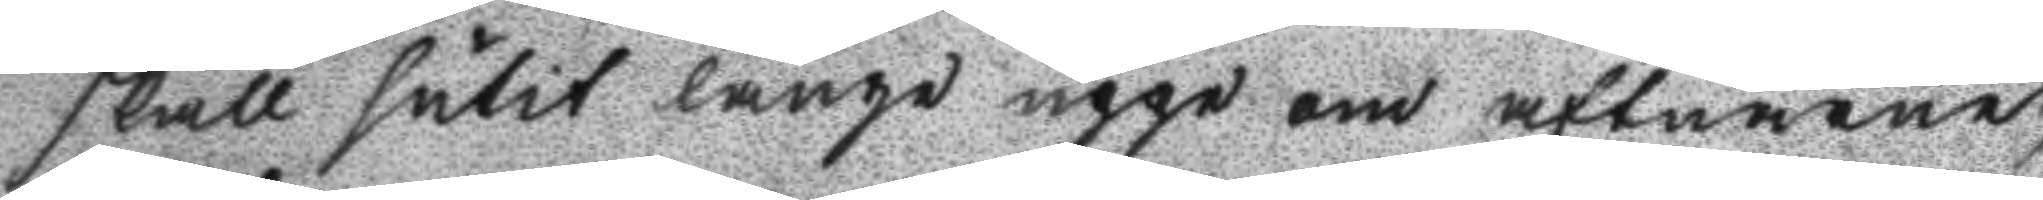skall sutit länge uppe om aftnarne
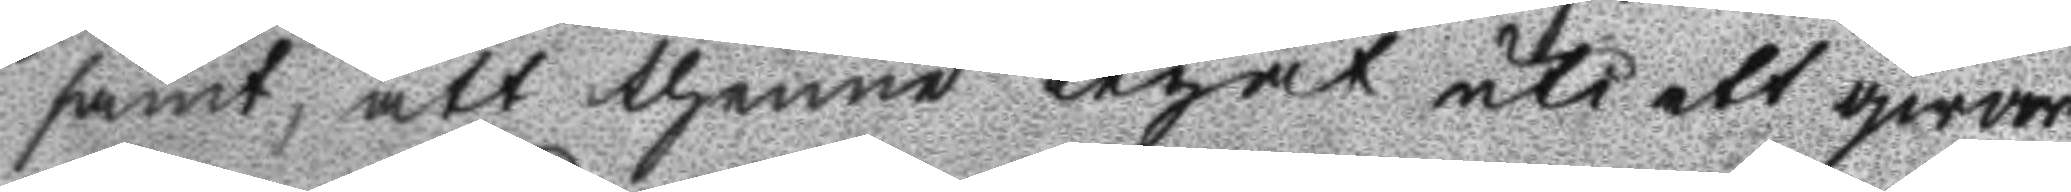samt, att thenne legat uti ett qwar
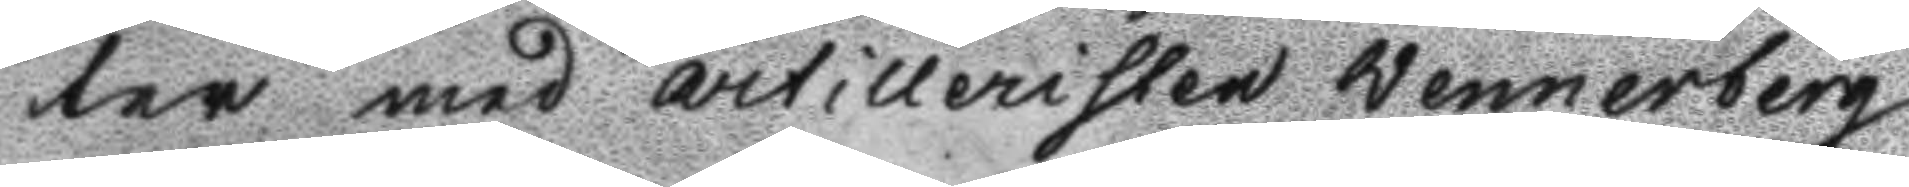ter med artilleristen Wennerberg
